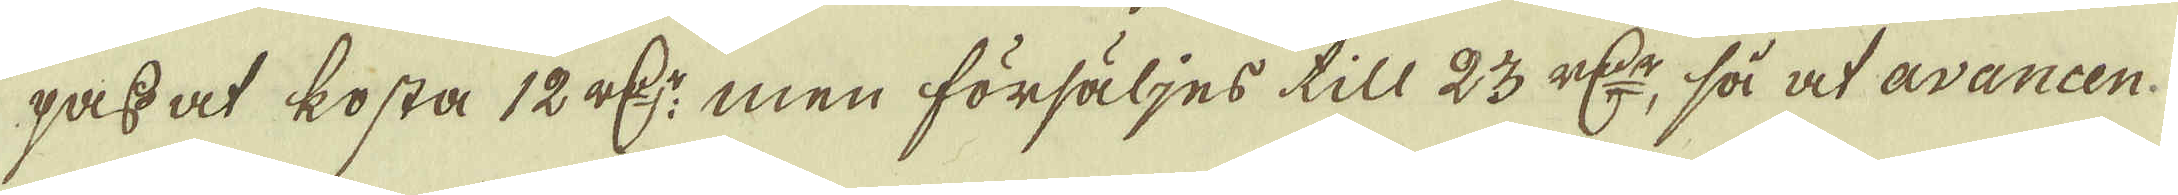pass at kosta 12 r:dr men försäljes till 23 r:dr, så at avancen.
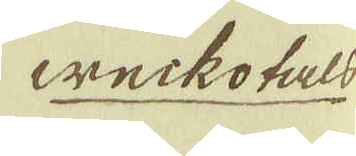weckotals
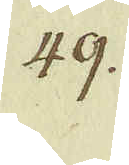49.
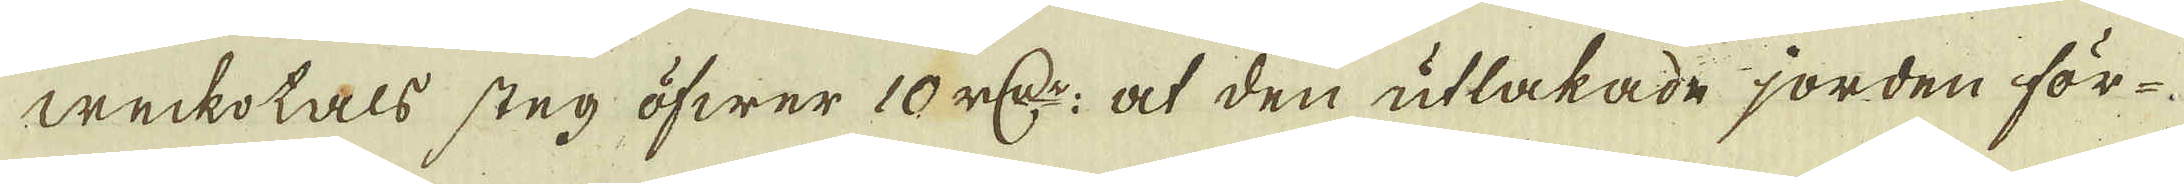weckotals steg öfwer 10 r:dr, at den utlakade jorden för-
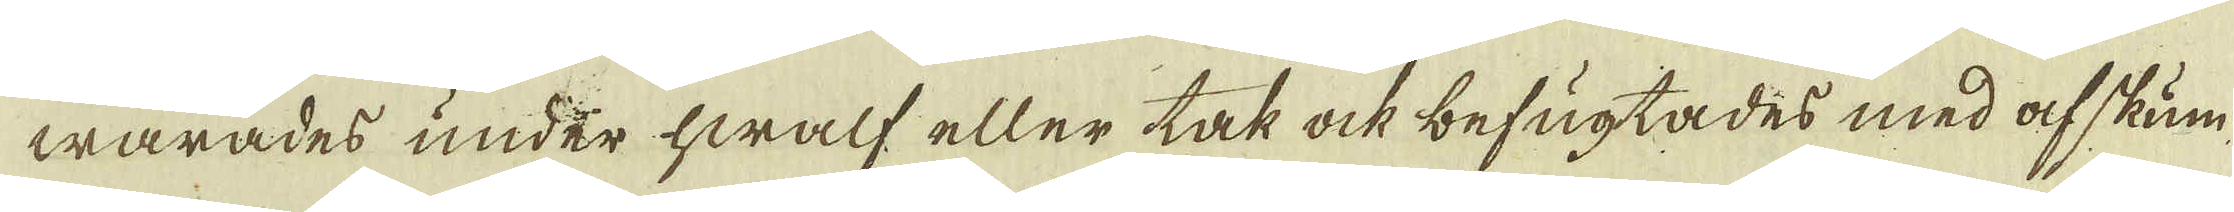warades under hwalf eller tak ock befugtades med af skum
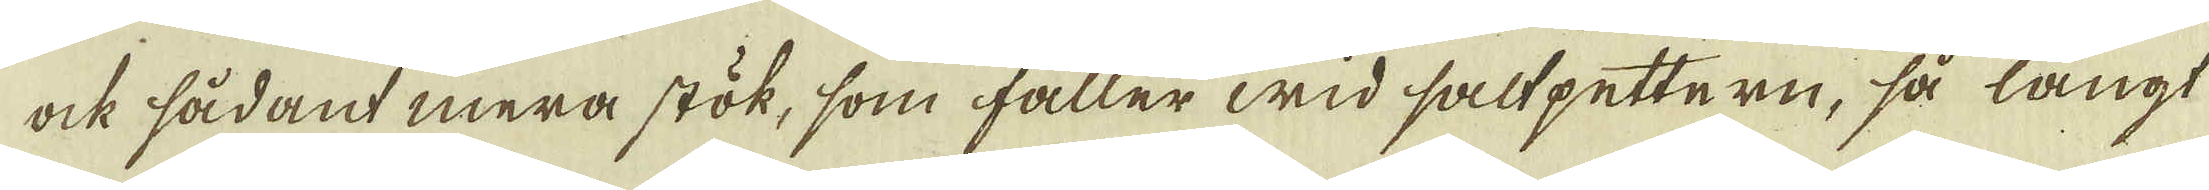ock sådant mera stök, som faller wid saltpettern, så långt
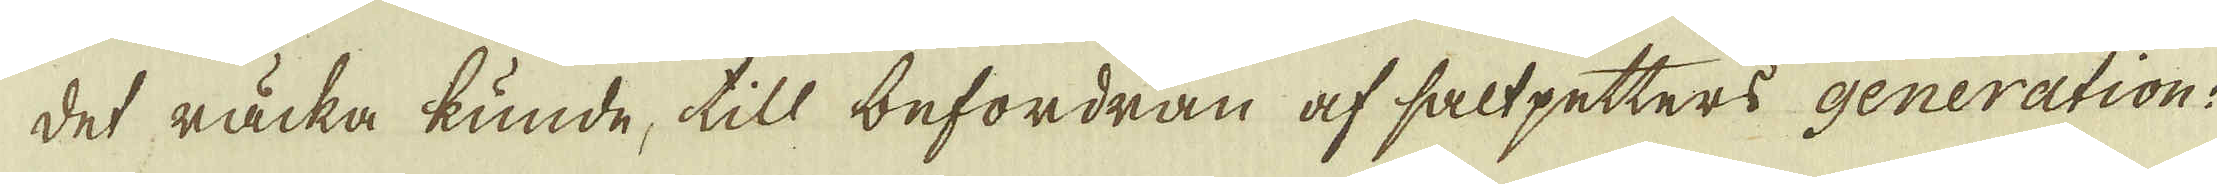det räcka kunde, till befordran af saltpetters generation.
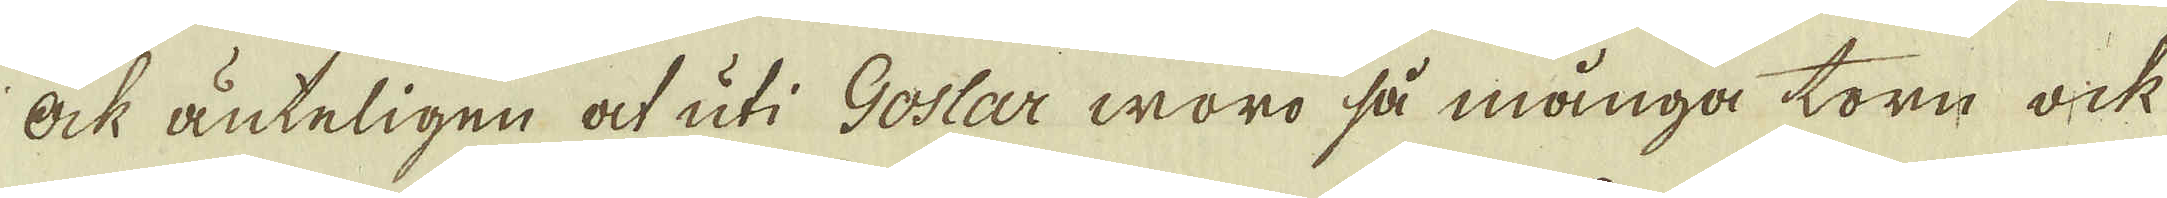Ock änteligen at uti Goslar woro så många torn ock
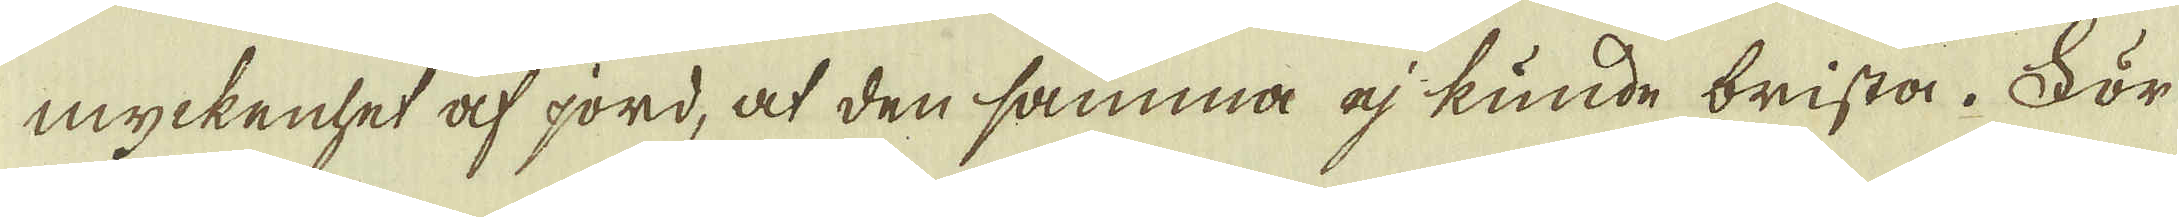myckenhet af jord, at den samma ej kunde brista. För
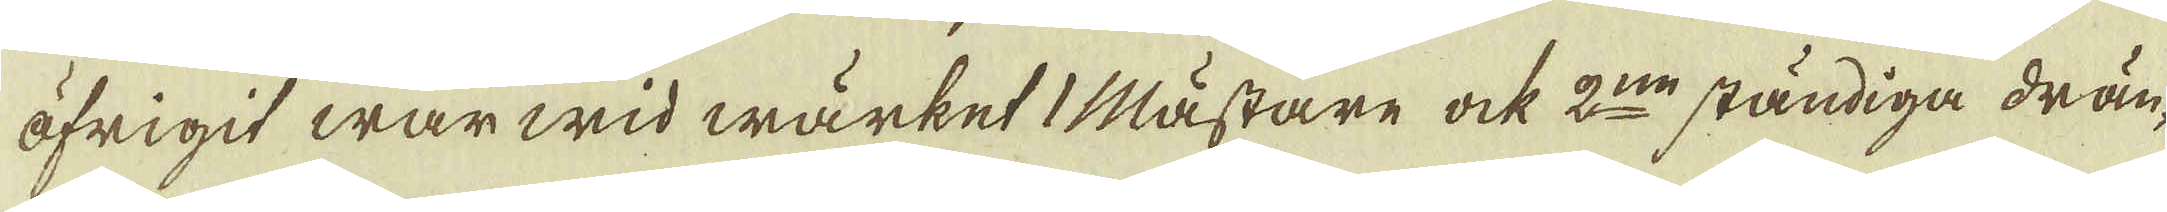öfrigit war wid wärket 1 mästare ock 2:ne ständiga drän-
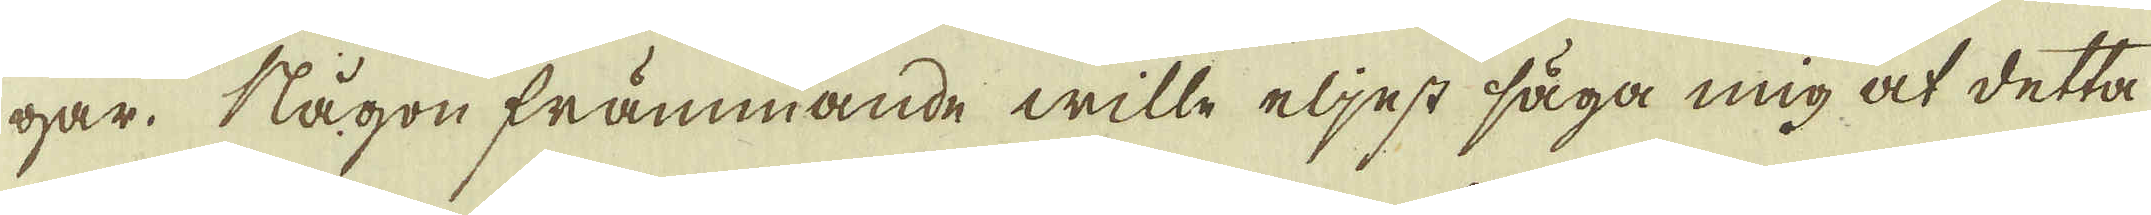gar. Någon främmande wille eljest säga mig at detta
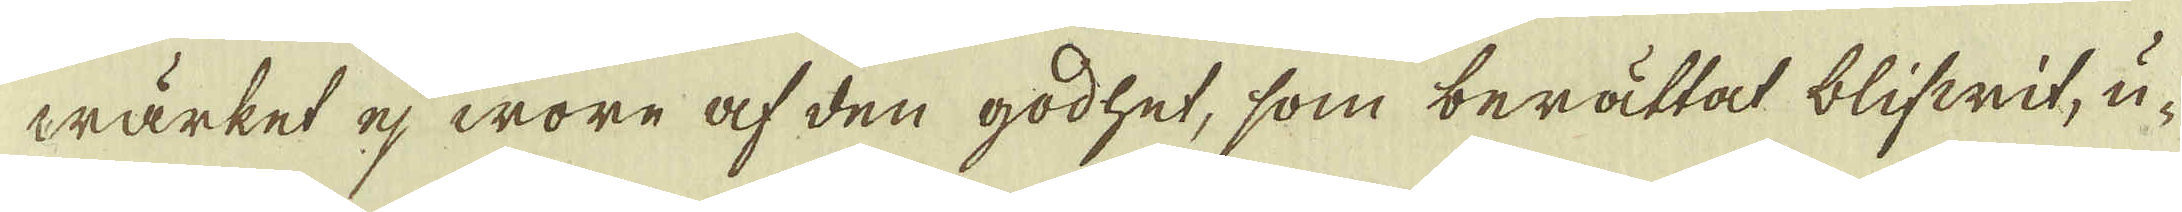wärket ej wore af den godhet, som berättat blifwit, u-
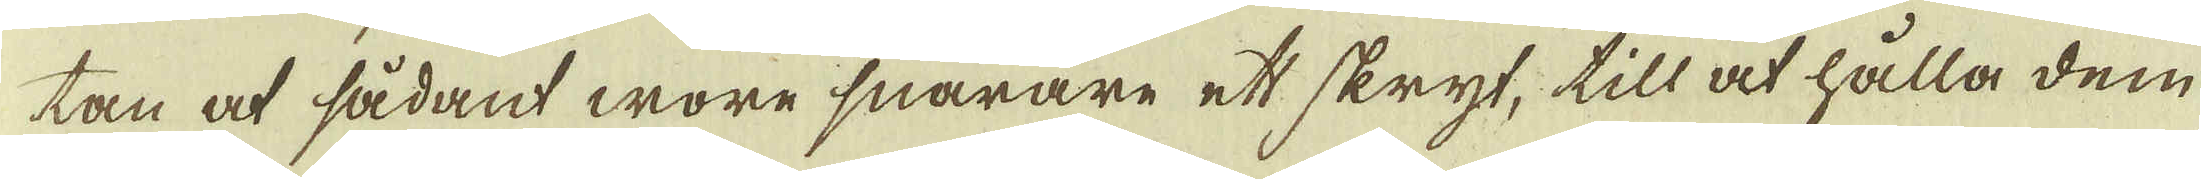tan at sådant wore snarare ett skryt, till at hålla dem
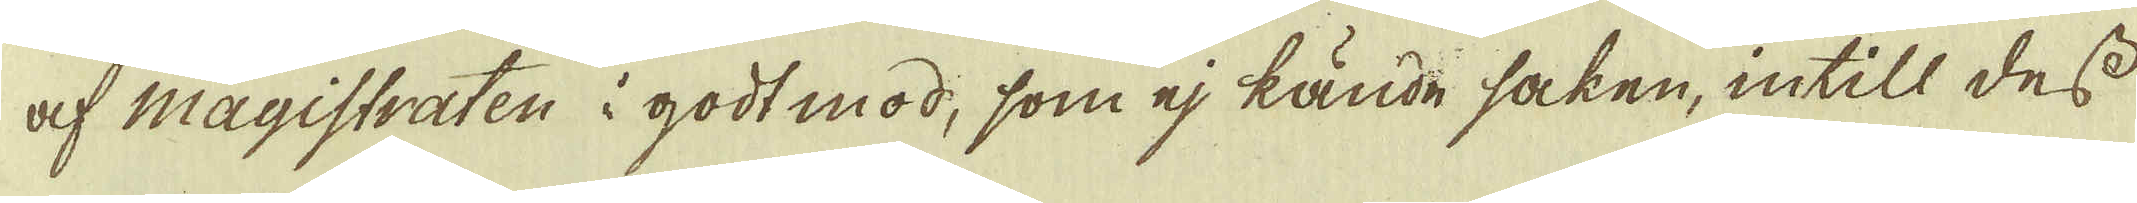af Magistraten i godt mod, som ej kände saken, intill dess
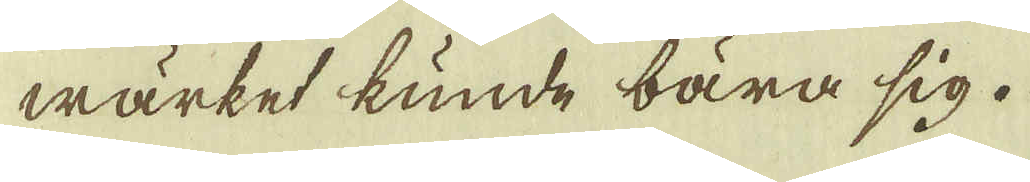wärket kunde bära sig.
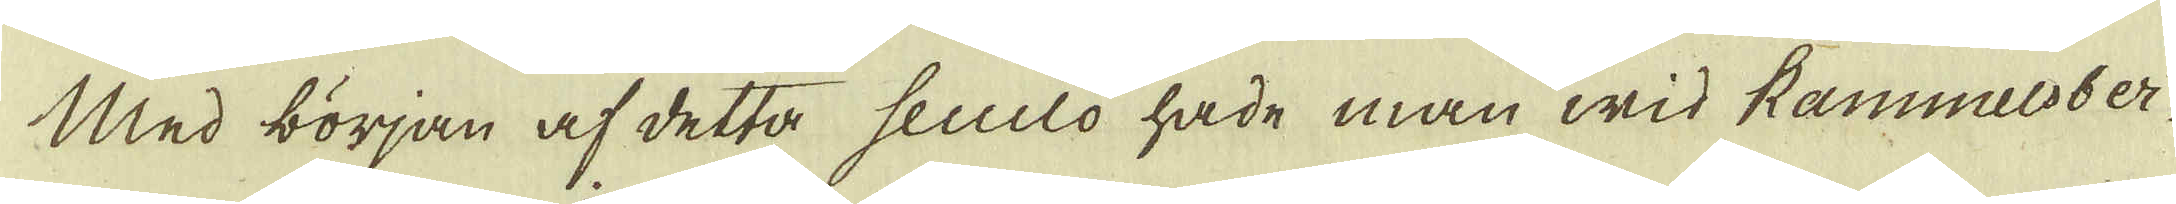Med början af detta seculo hade man wid Rammelsber-
